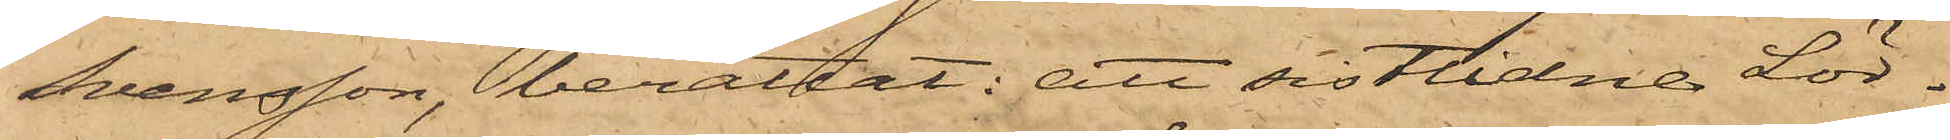Svensson, berättat: att sistlidne Lör¬
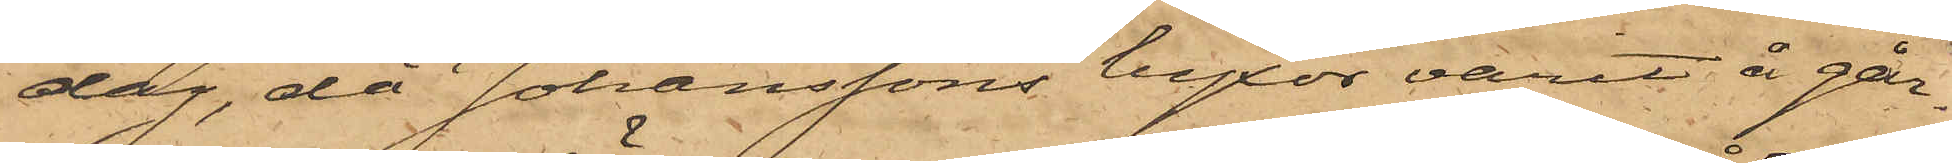dag, då Johanssons byxor varit å går¬
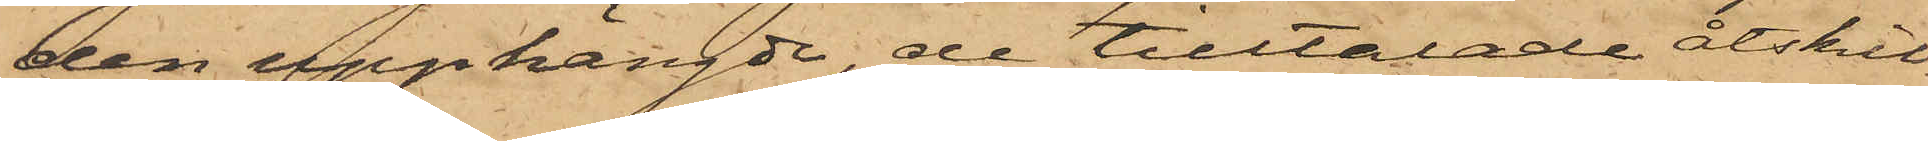den upphängde, de tilltalade åtskil¬
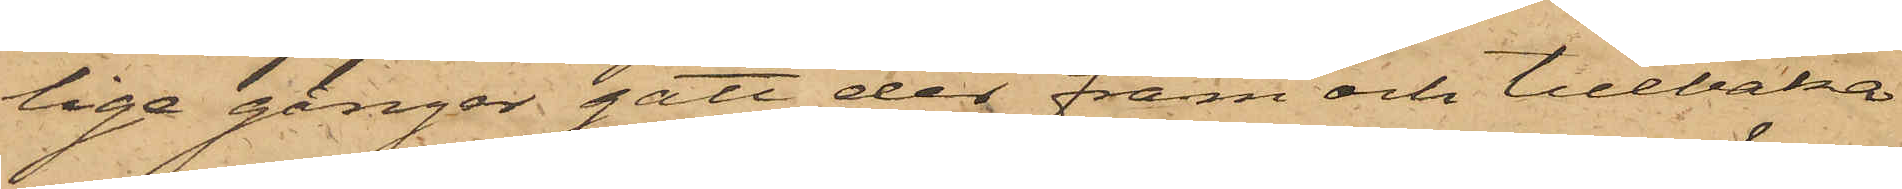liga gånger gått der fram och tillbaka
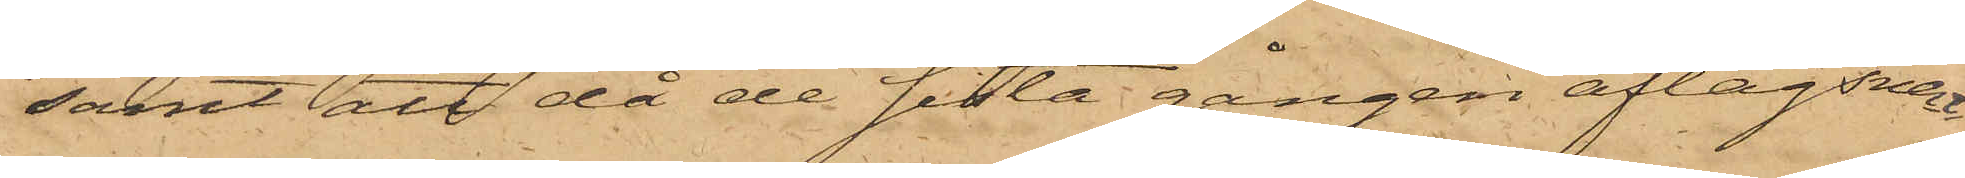samt att då de sista gången aflägsnat
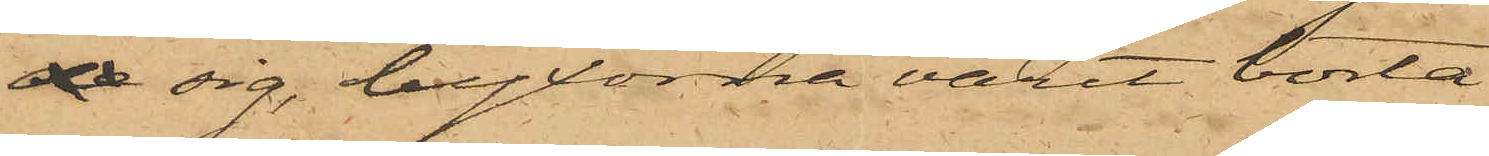de sig, byxorna varit borta.
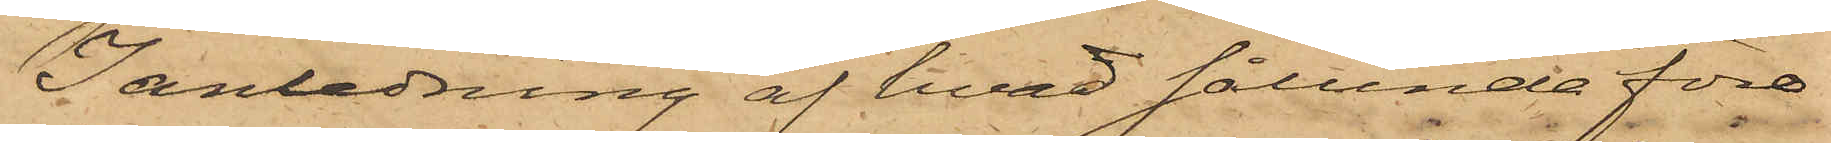I anledning af hvad sålunda före¬
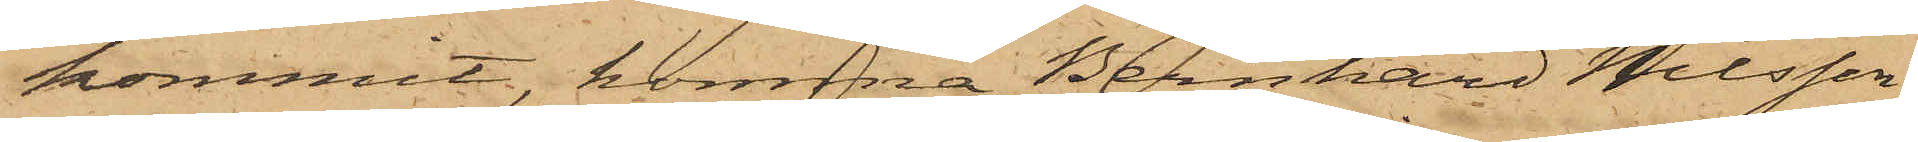kommit, komma Bernhard Nilsson,
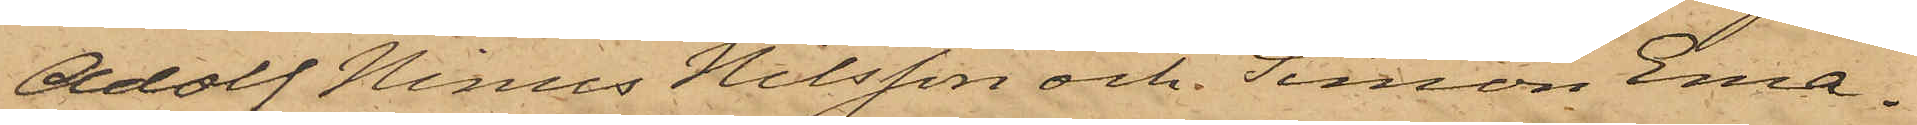Adolf Ninus Nilsson och Simon Ema¬
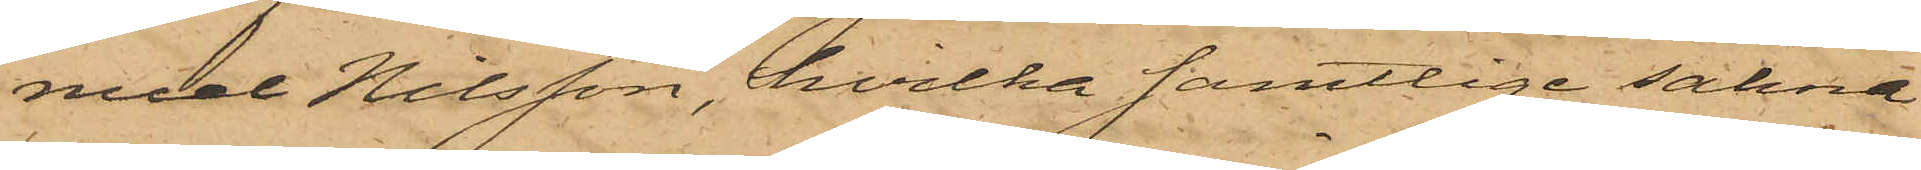nuel Nilsson, hvilka samtlige sakna
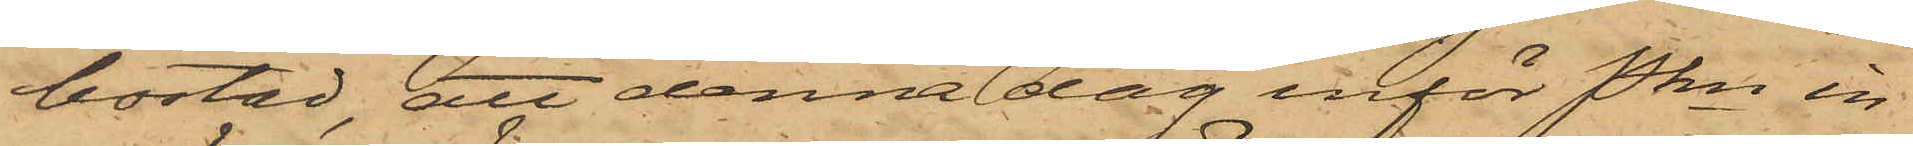bostad, att denna dag inför Pkn in¬
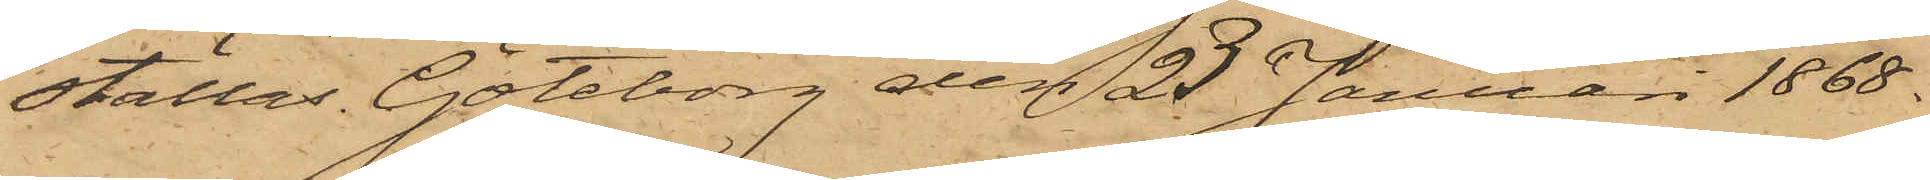ställas. Göteborg den 23 Januari 1868.
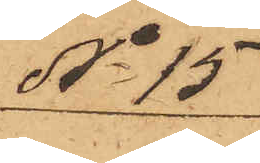No 15
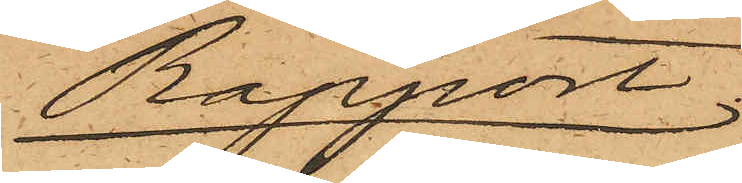Rapport.
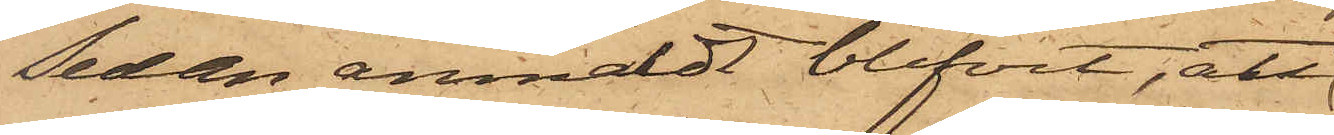Sedan anmäldt blifvit, att
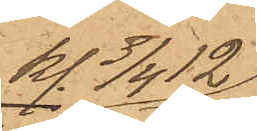kl. 3/4 12
